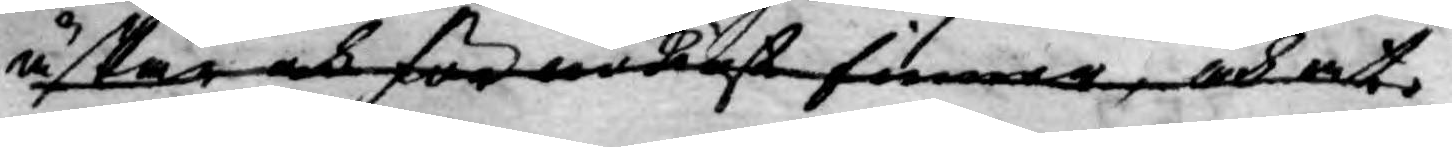äskar och för ärligt finner, och at
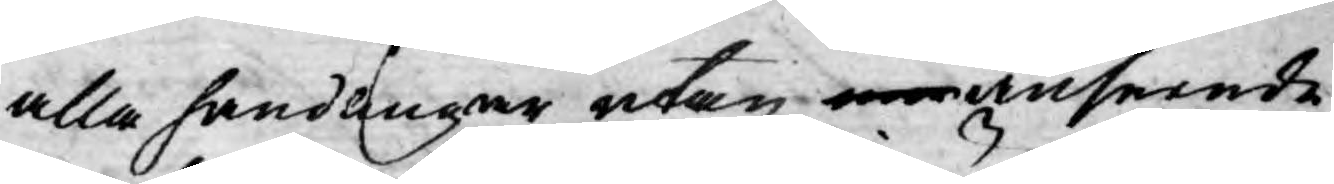alla handlingar utan anseende
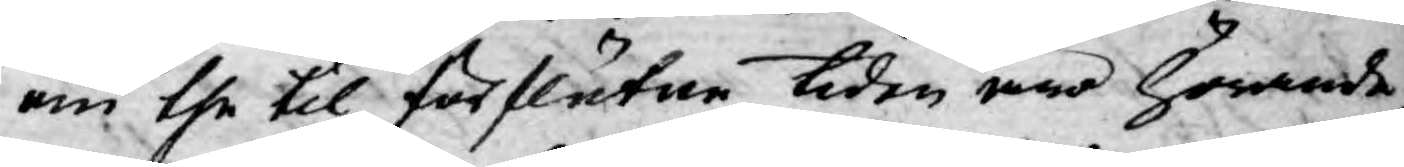om the til förflutne tiden äro hörande
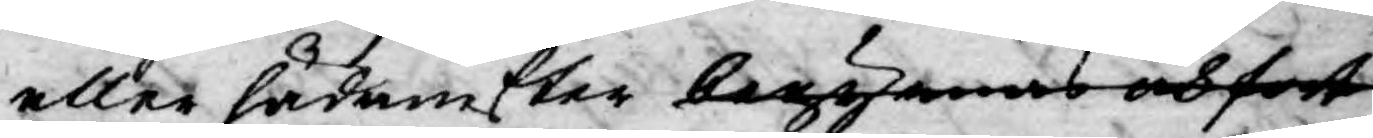eller hädanefter begynnas och fort
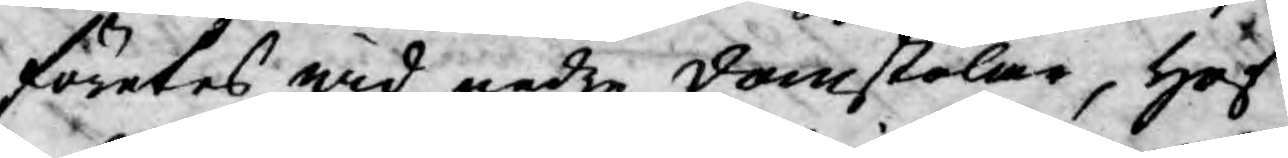företes wid nedre domstolar, Hof¬
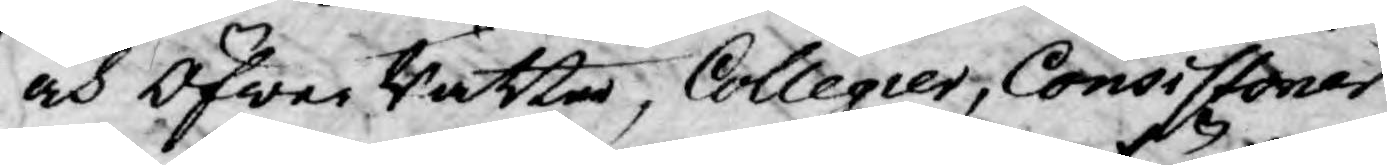och Öfwer Rätter, Collegier, Consistorier
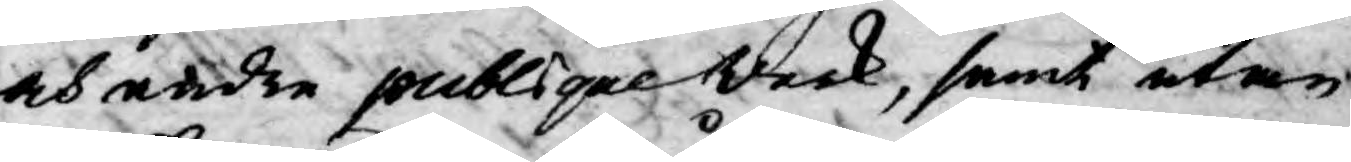och andre publique werk, samt utan
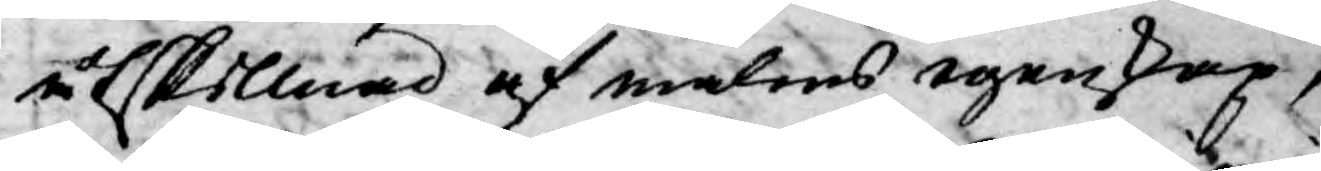åtskillnad af målens egenskap,
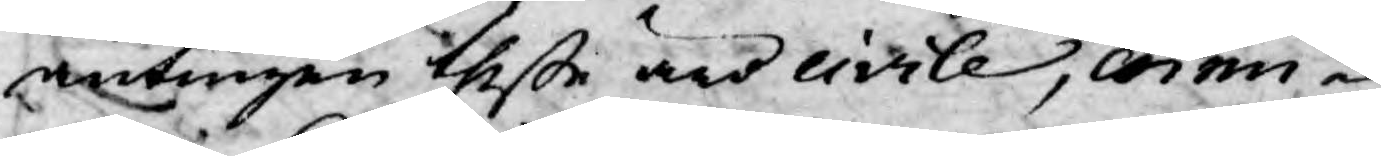antingen theße äro civile, crimi¬
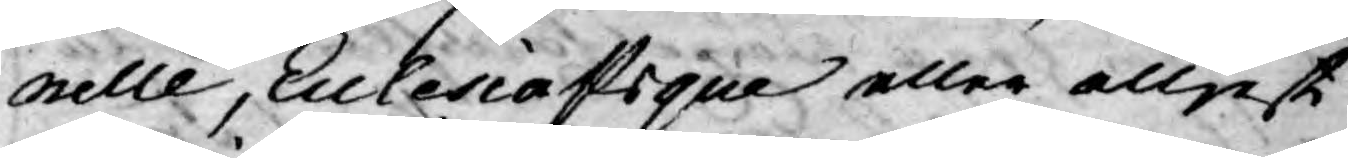nelle, Eclesiastique eller elljest
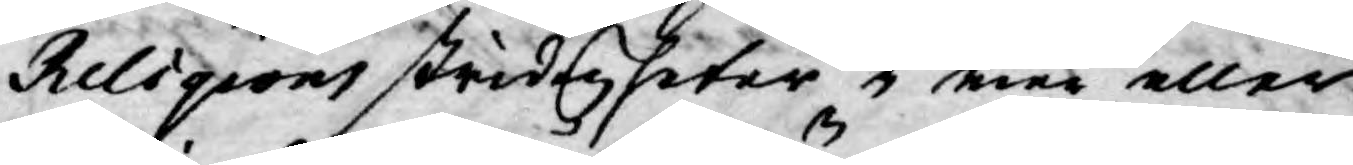Religions stridigheter i mer eller
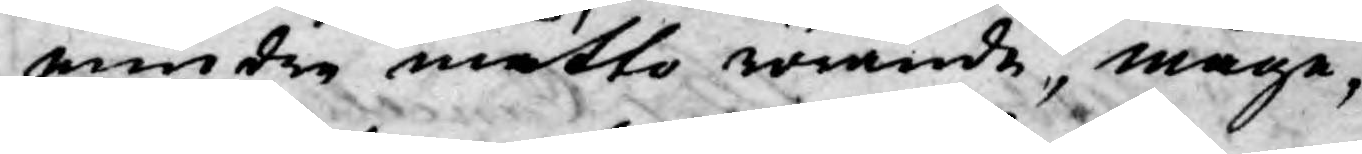mindre måtto rörande, måge,
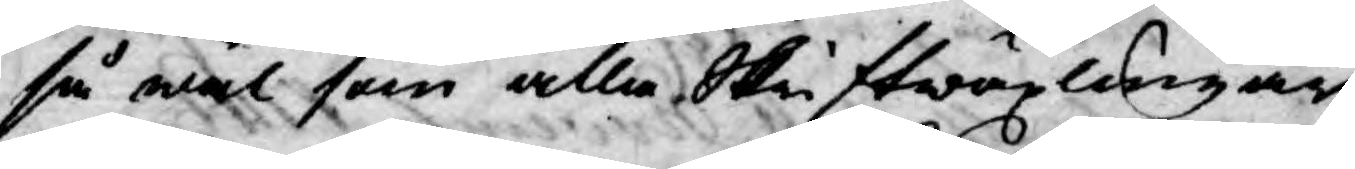så wäl som alla Skriftwäxlingar,
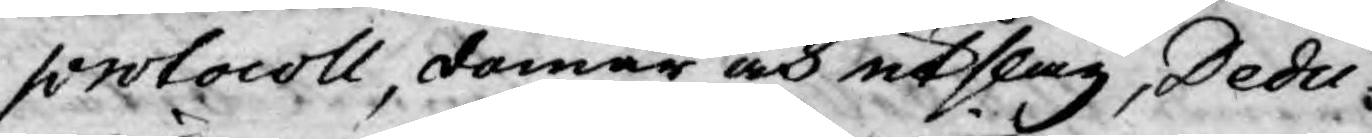protocoll, domar och utslag, Dedu¬
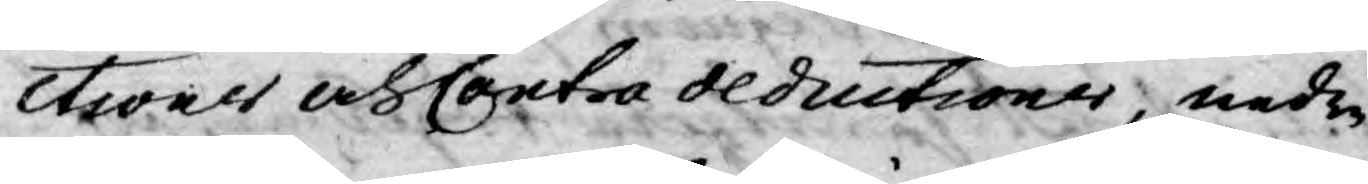ctioner och Contra deductioner, nedre
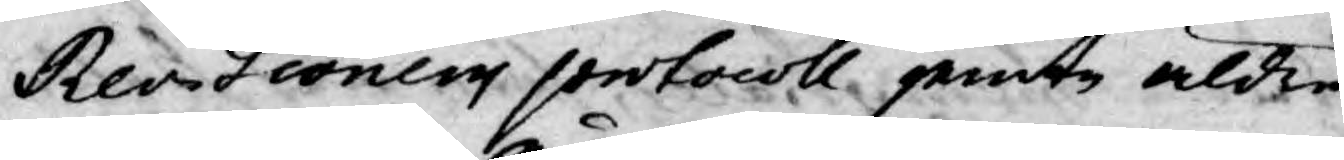Revsioners protocoll jemte äldre
